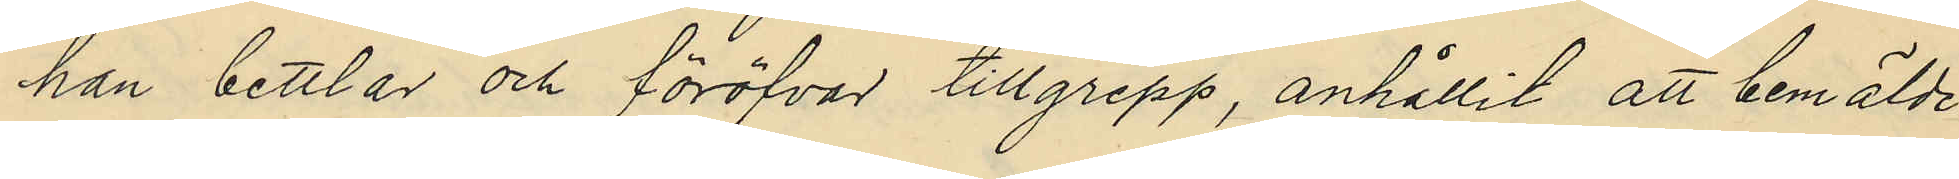han bettlar och föröfvar tillgrepp, anhållit att bemälde
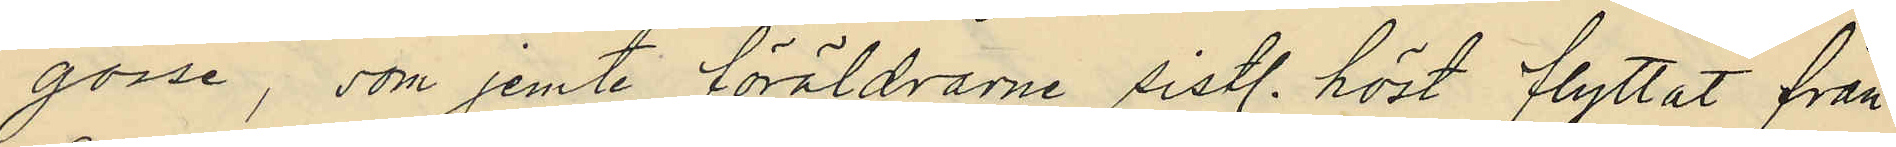gosse, som jemte föräldrarne sistl. höst flyttat från
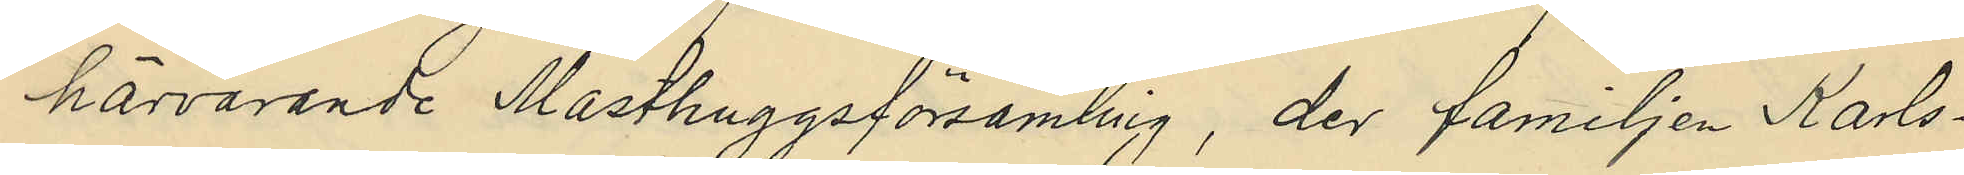härvarande Masthuggsförsamling, der familjen Karls¬
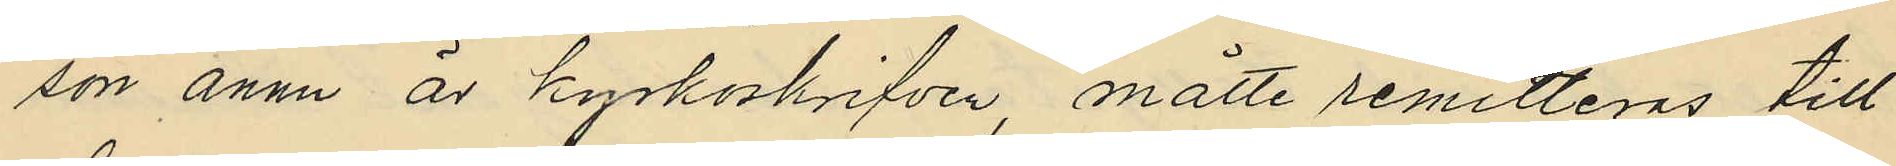son ännu är kyrkoskrifven, måtte remitteras till
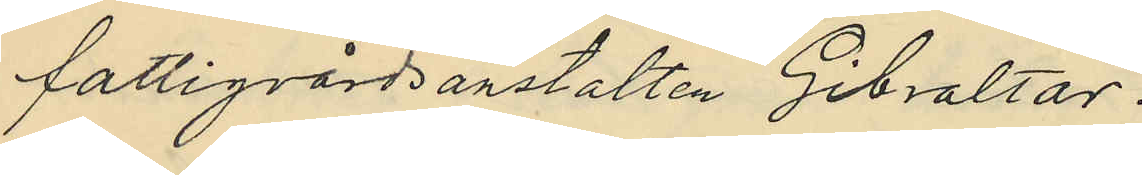fattigvårdsanstalten Gibraltar.
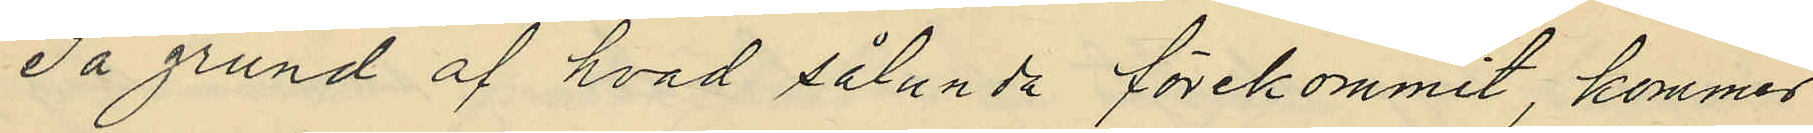På grund af hvad sålunda förekommit, kommer
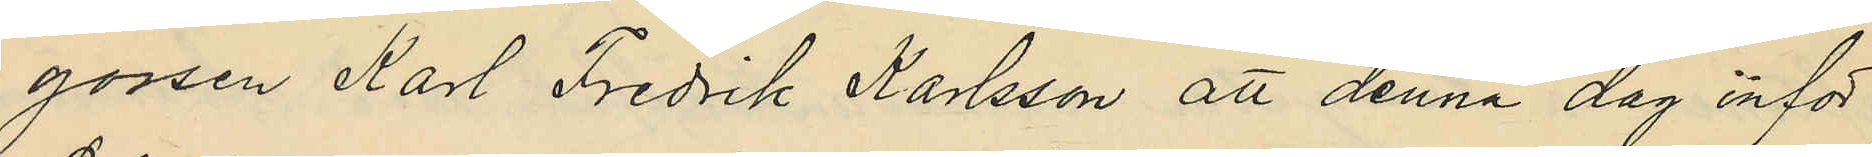gossen Karl Fredrik Karlsson att denna dag inför
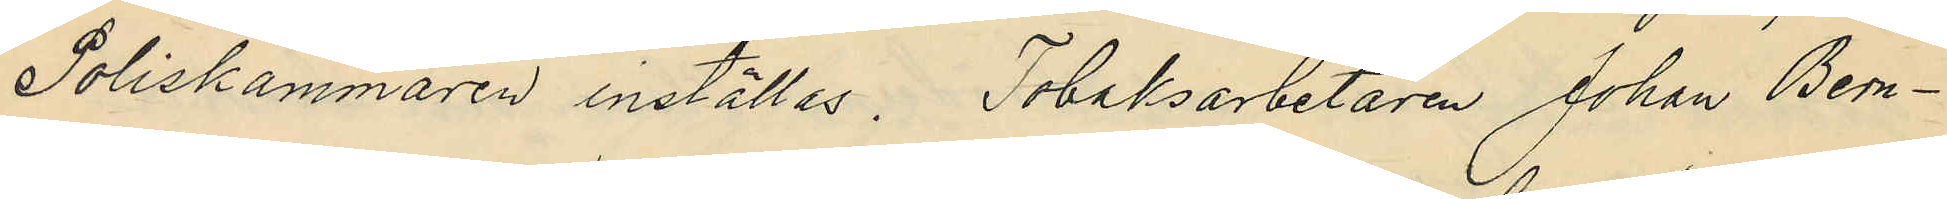Poliskammaren inställas. Tobaksarbetaren Johan Bern¬
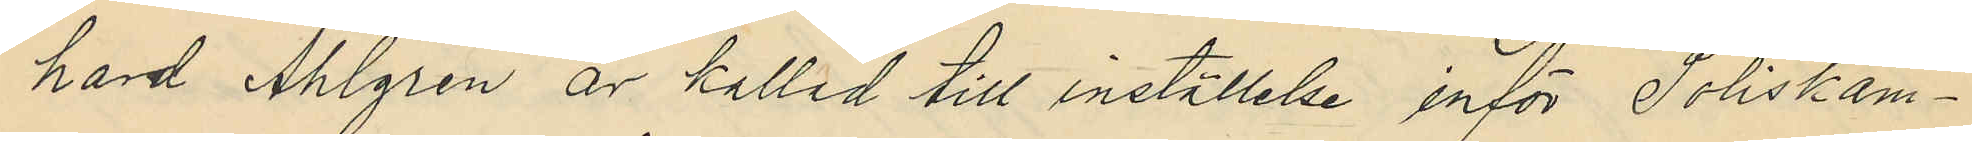hard Ahlgren är kallad till inställelse inför Poliskam¬
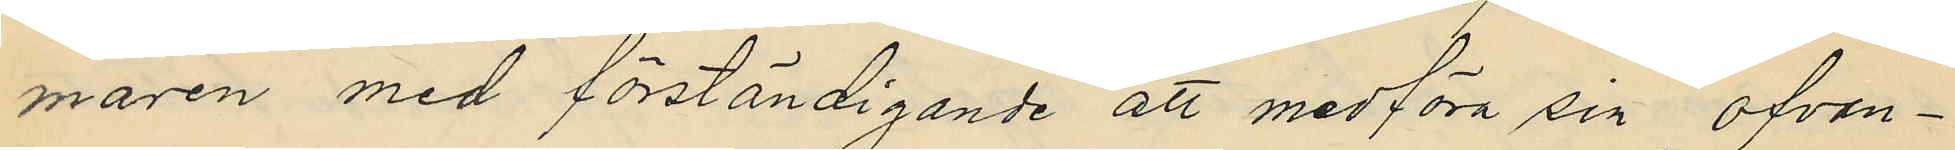maren med förständigande att medföra sin ofvan¬
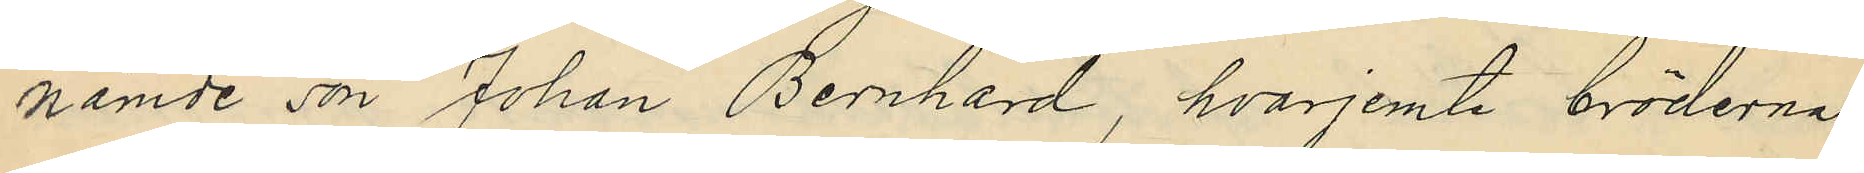nämde son Johan Bernhard, hvarjemte bröderna
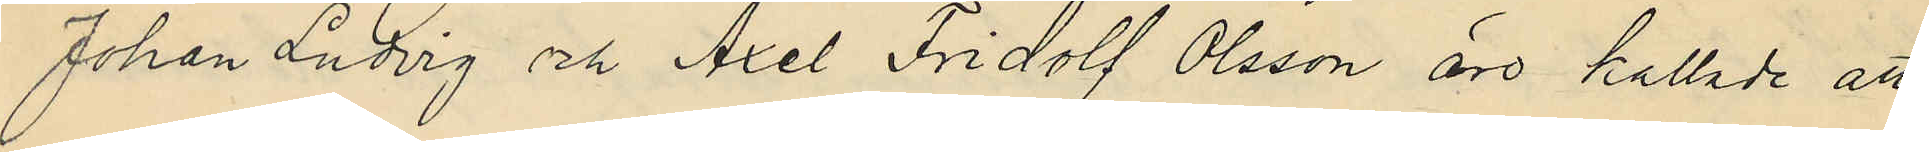Johan Ludvig och Axel Fridolf Olsson äro kallade att
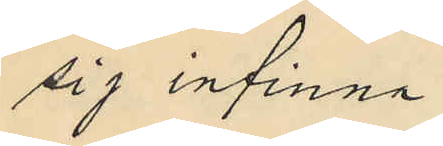sig infinna.
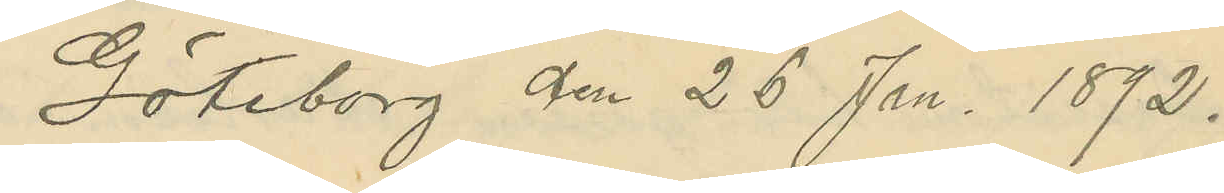Göteborg den 26 Jan. 1872.
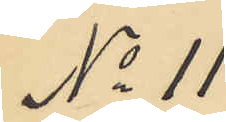No 11
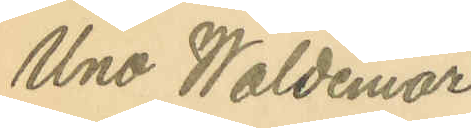Uno Waldemar
